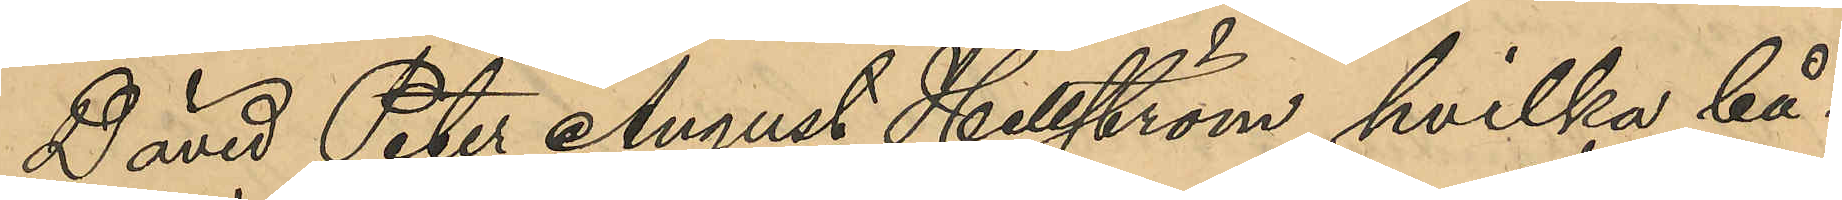David Peter August Hellström, hvilka bå¬
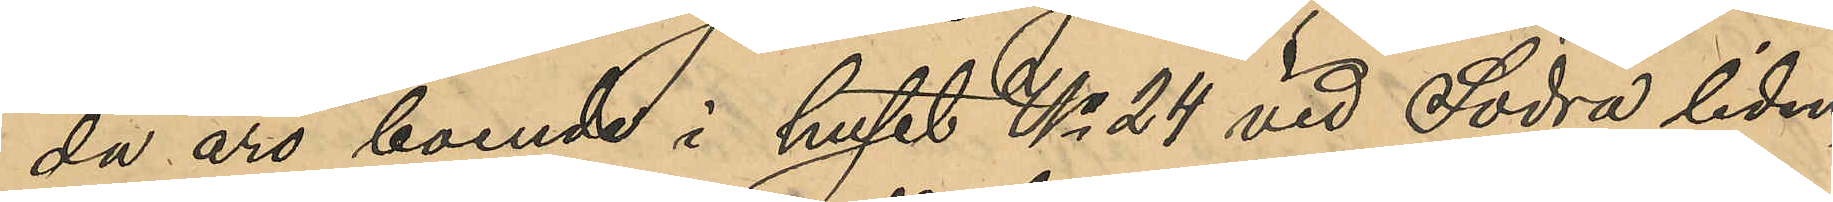da äro boende i huset No 24 vid Södra liden
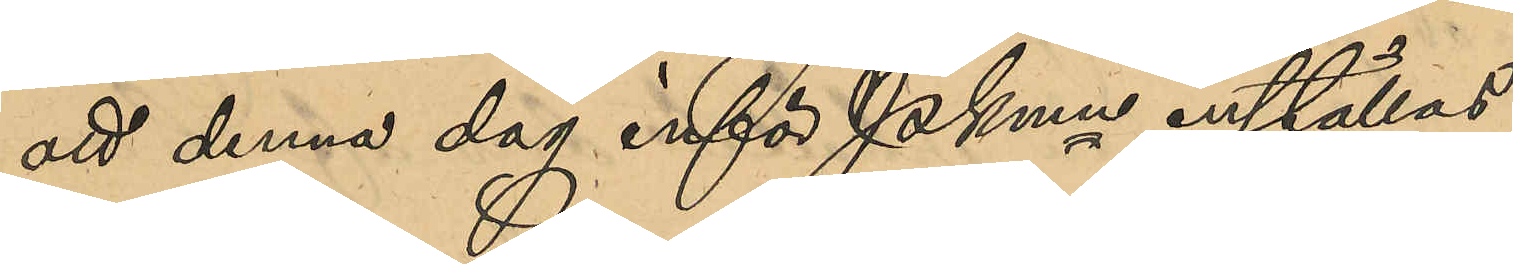att denna dag inför PKmn inställas.
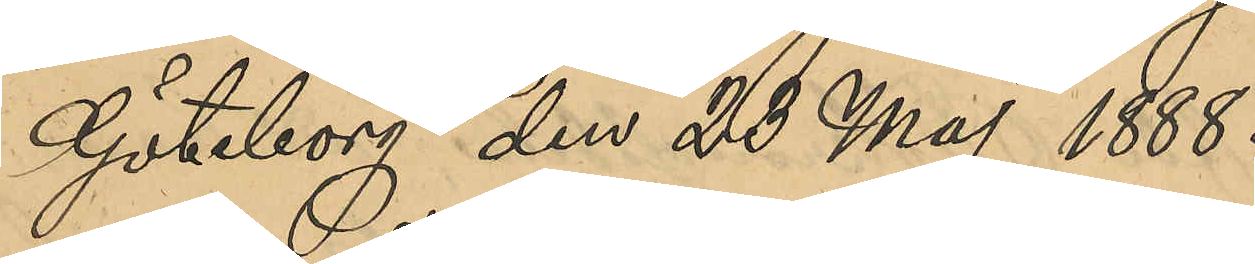Göteborg den 23 Maj 1888.
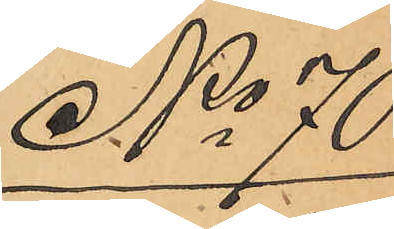No 70
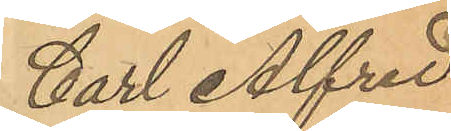Carl Alfred
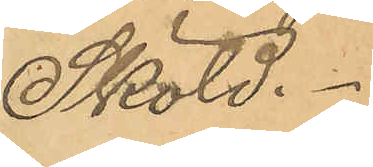Sköld.
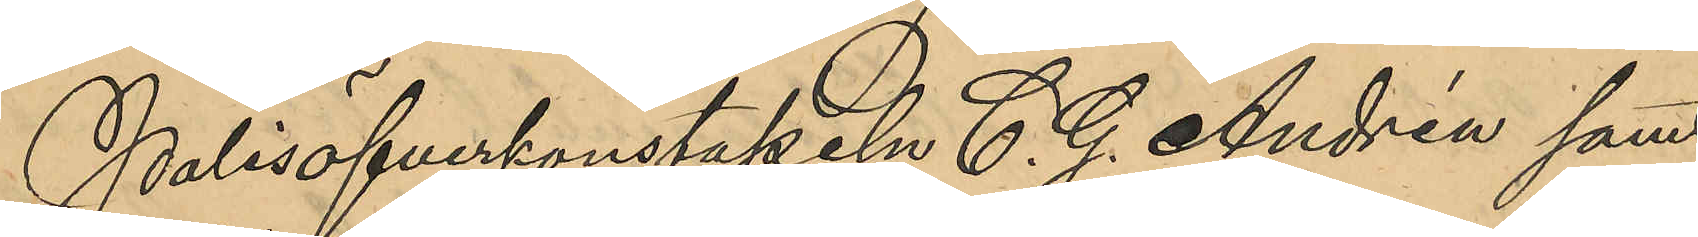Polisöfverkonstapeln C. G. Andrén samt
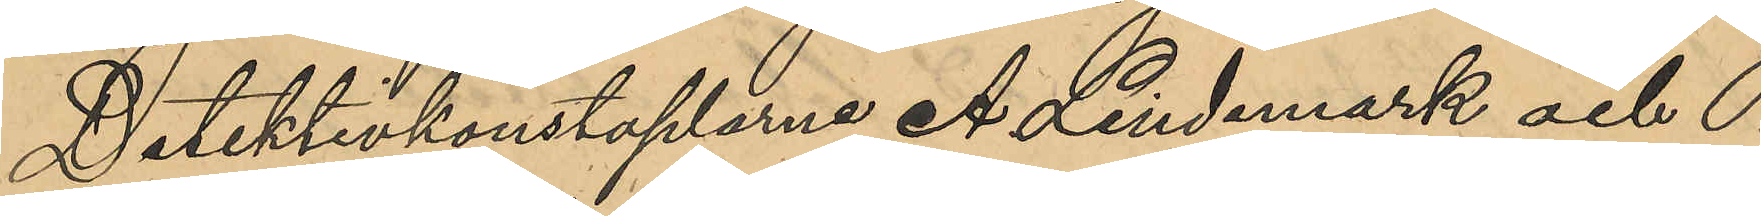Detektivkonstaplarne A. Lindmark och P.
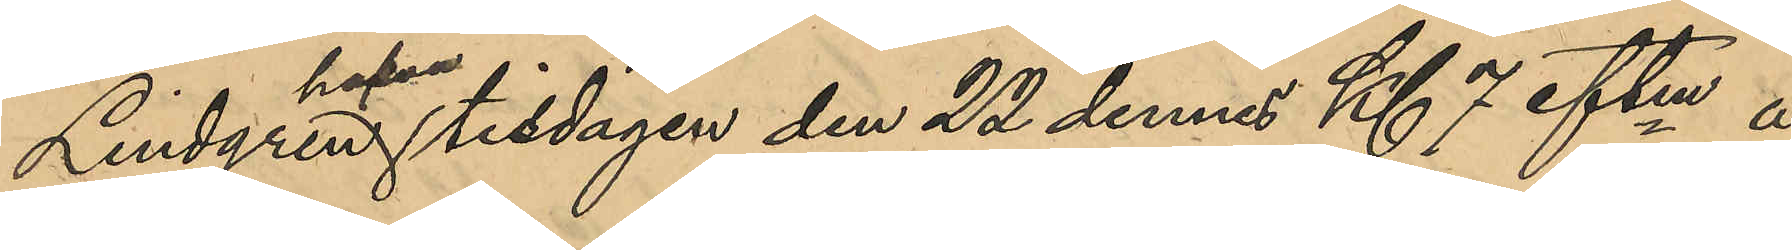Lindgren hafva tisdagen den 22 dennes Kl 7 eftm å
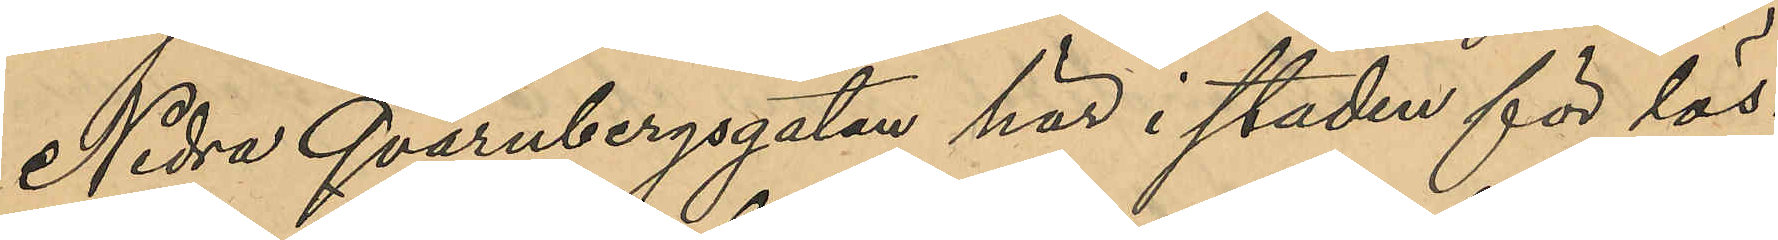Nedre Qvarnbergsgatan här i staden för lös¬
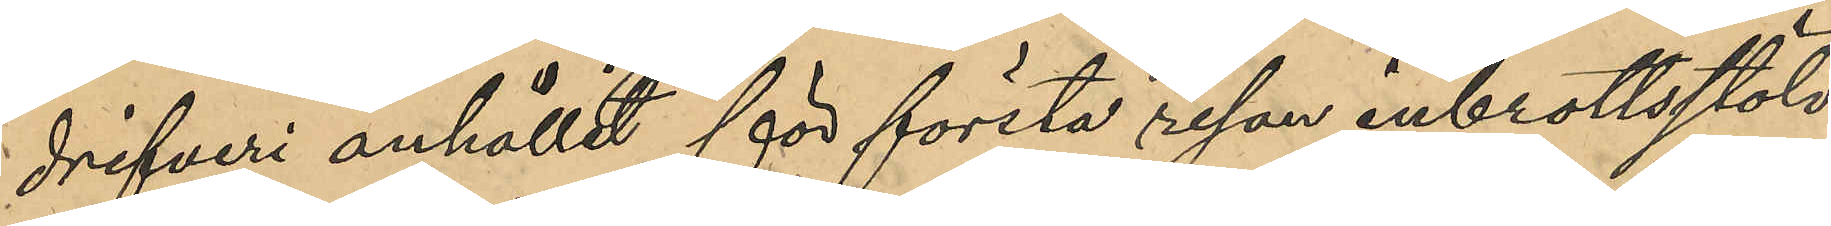drifveri anhållit för första resan inbrottsstöld
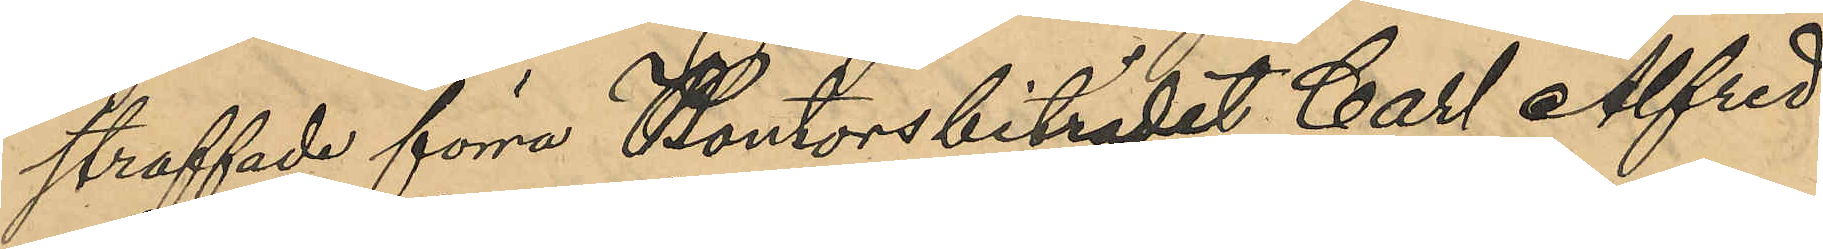straffade förra Kontorsbiträdet Carl Alfred
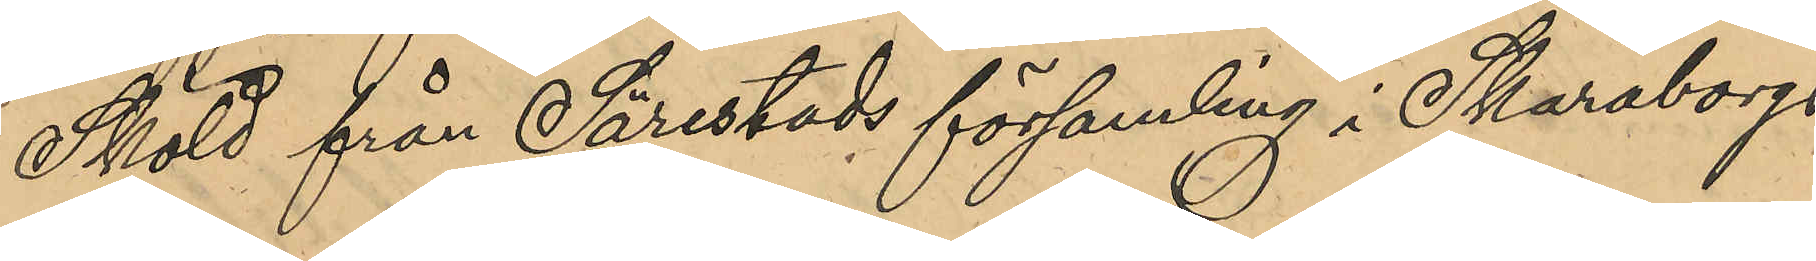Sköld från Särestads församling i Skaraborgs
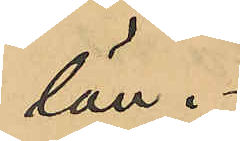län.
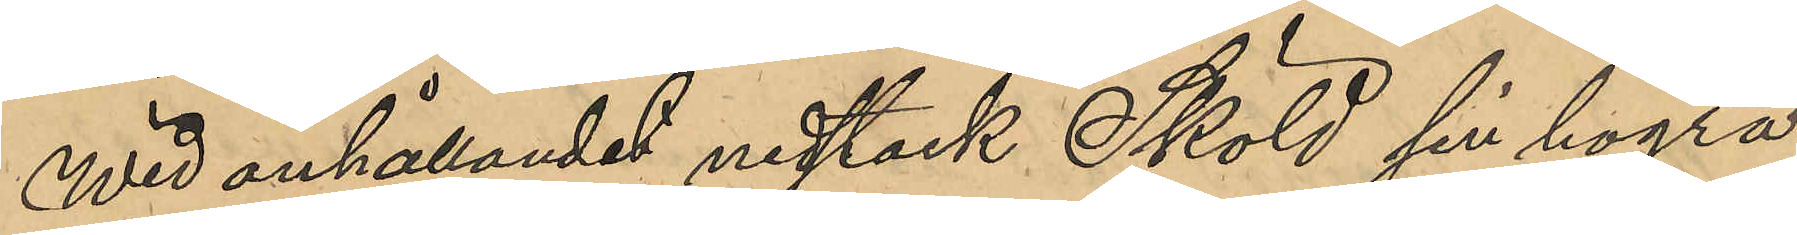Wid anhållandet nedstack Sköld sin högra
